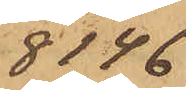8146
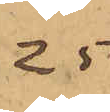.25
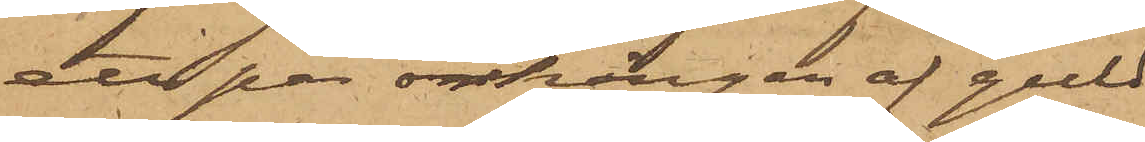att par örhängen af guld
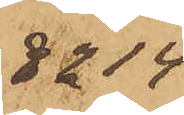8214
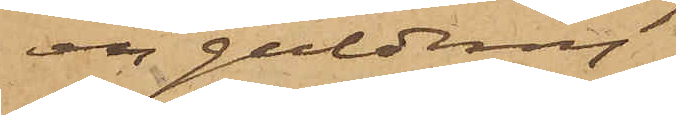en guldring
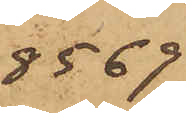8569
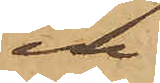en do
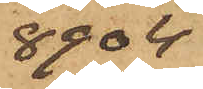8904
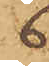6
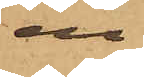en do
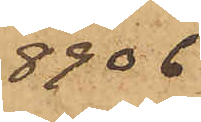8906
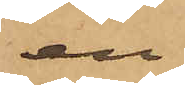en do
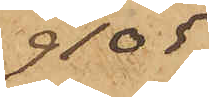9105
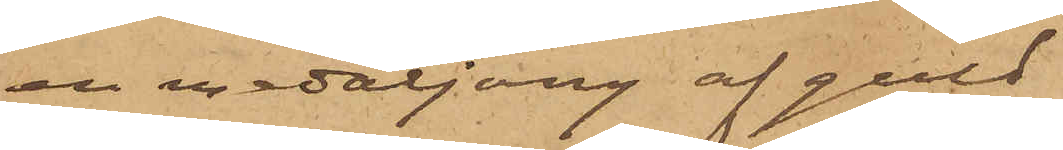en medaljong af guld
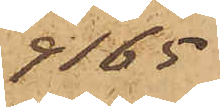9165
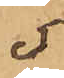5
